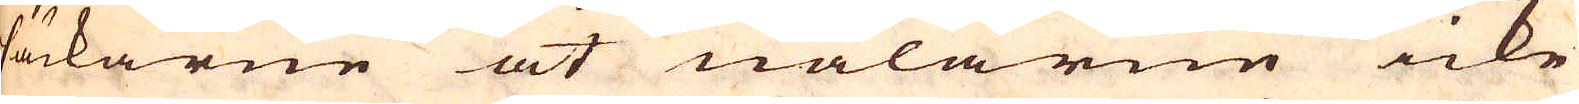säckarne at nålarne icke
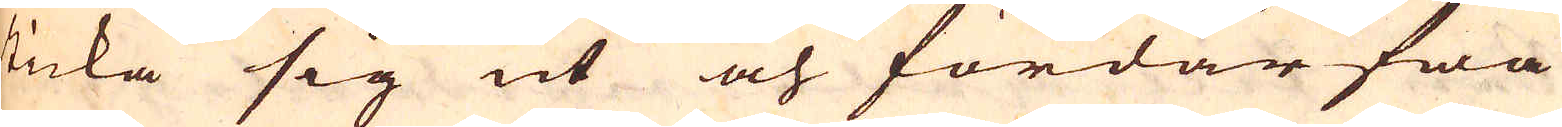sticka sig ut och fördärfwa
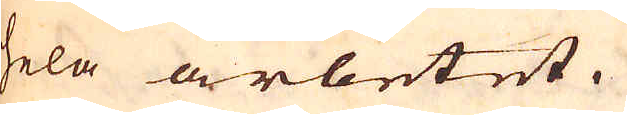hela arbetet.
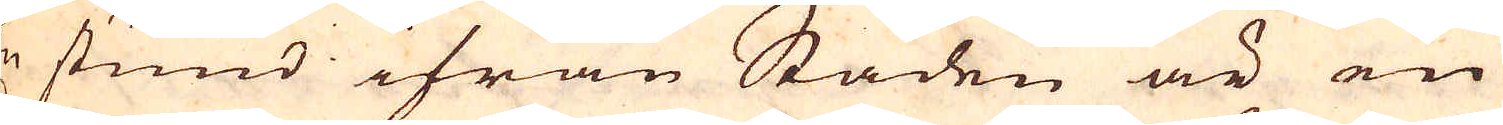En stund ifrån Staden är en
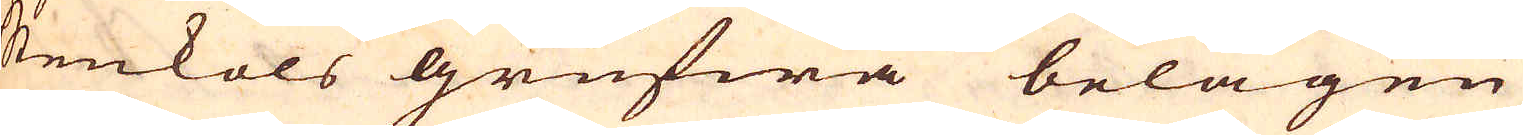stenkols grufwa belägen
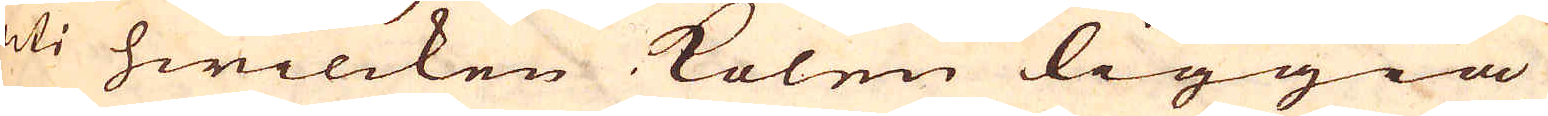uti hwilcken kolen liggia
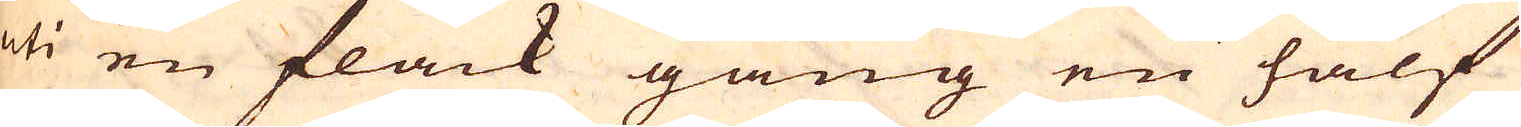uti en flack gång en half
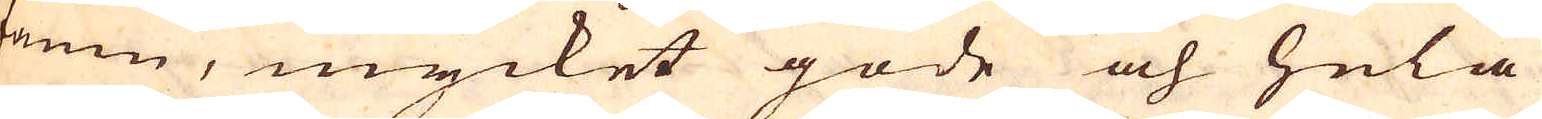famn, mycket gode och hela
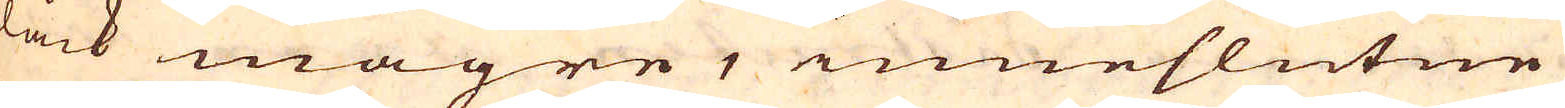dåck magre, inneslutne
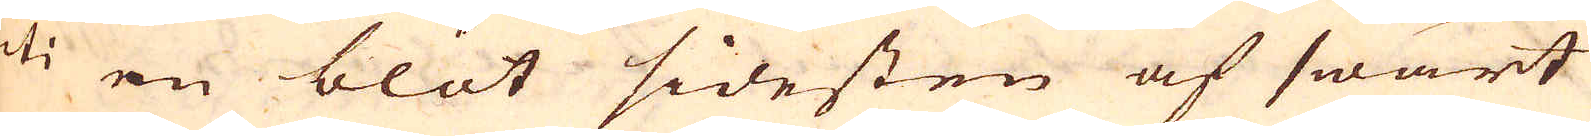uti en blöt sidesten af swart
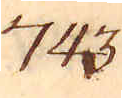743.
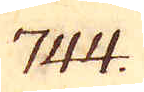744.
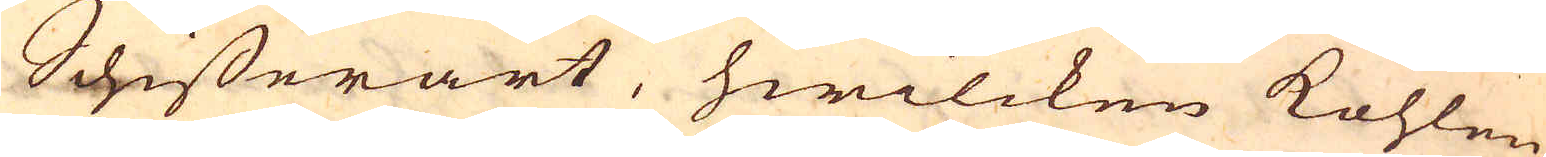Schifferart, hwilcken kohlen
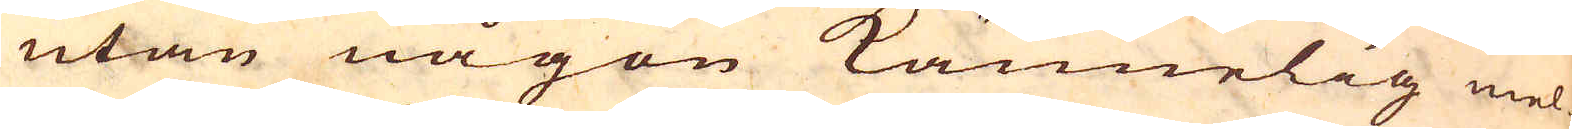utan någon kännelig mel-
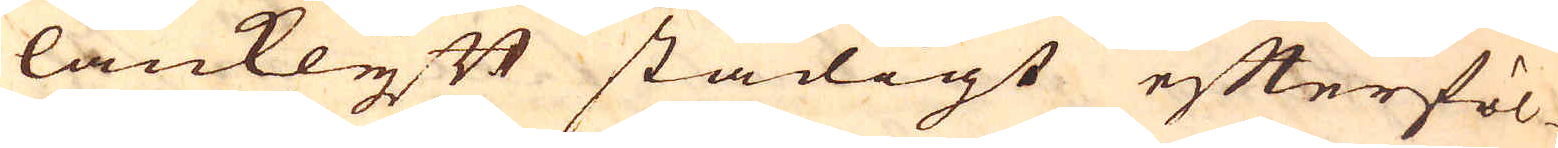lanklyft stadigt efterföl-
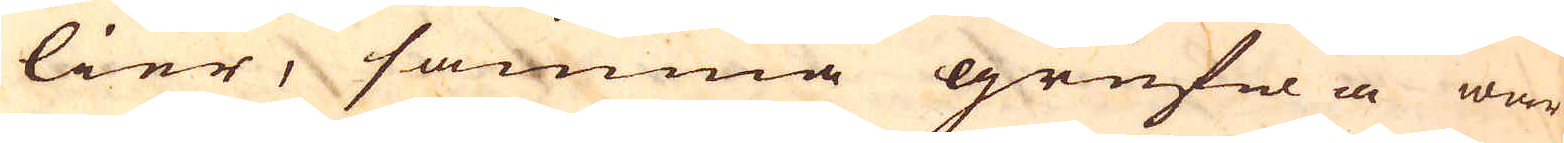lier, samma grufwa war
